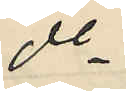do
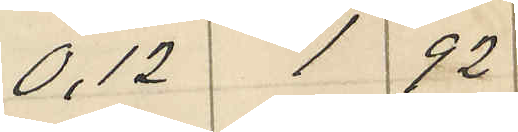0,12 1 92
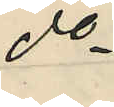A.
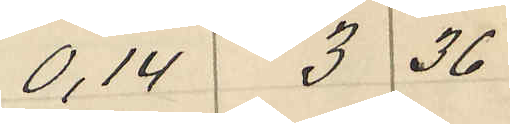0,14 3 36
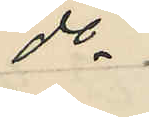do
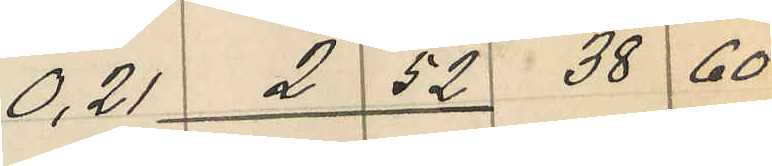0,21 2 52 38 60
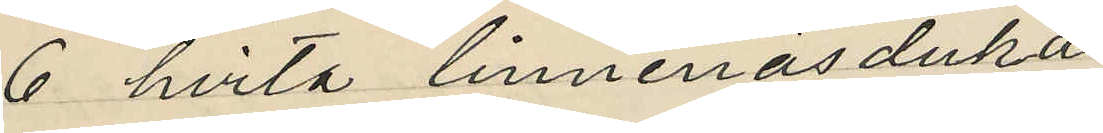6 hvita linnenäsdukar
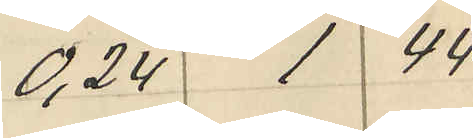0,24 1 44
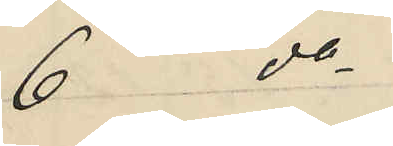6 do
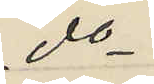do
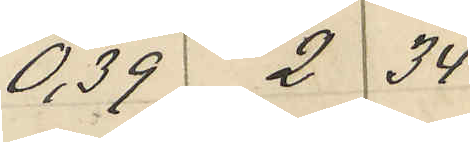0,39 2 34
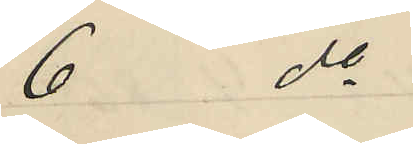6 do
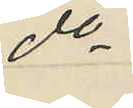do
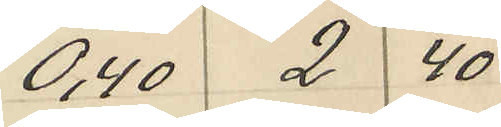0,40 2 40
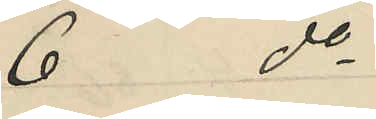6 do
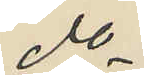do
